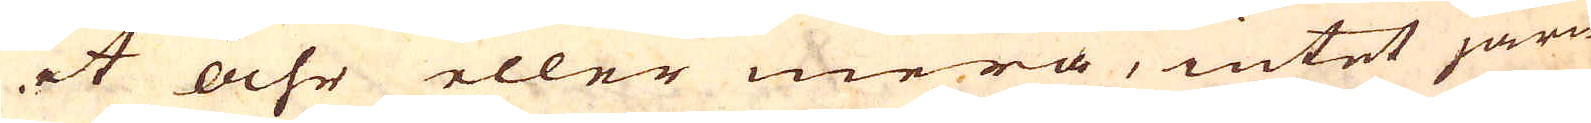et åhr eller mera, intet järn
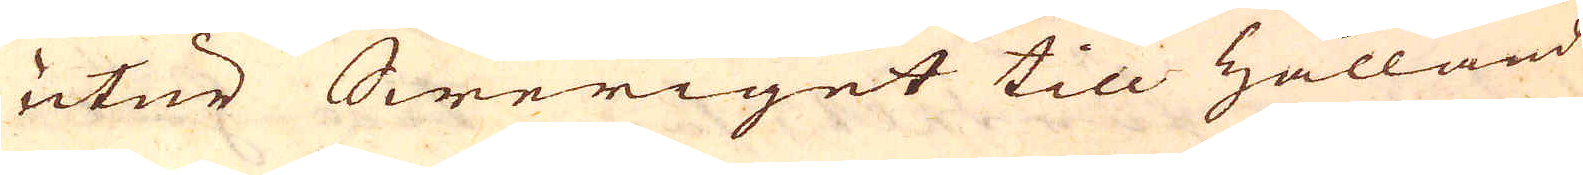utur Sweriget till Hålland
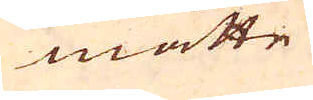måtte
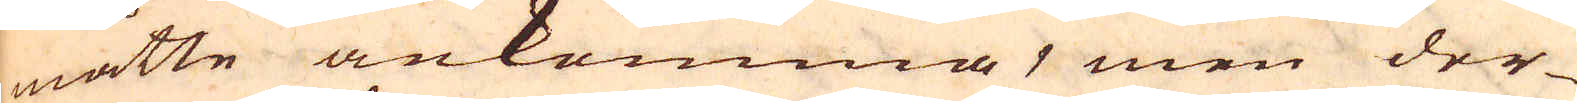måtte ankomma, men der-
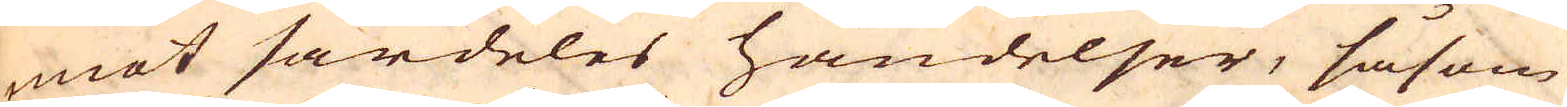mot särdeles händelser, såsom
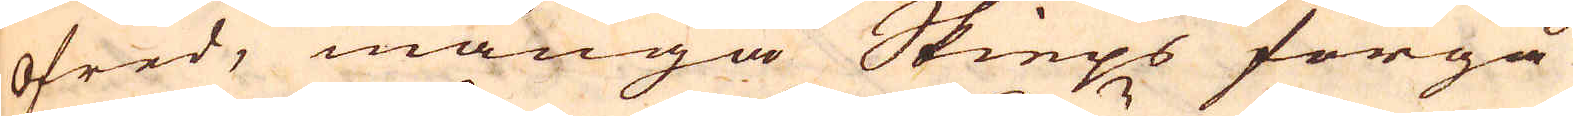ofred, många Skieps förgå-
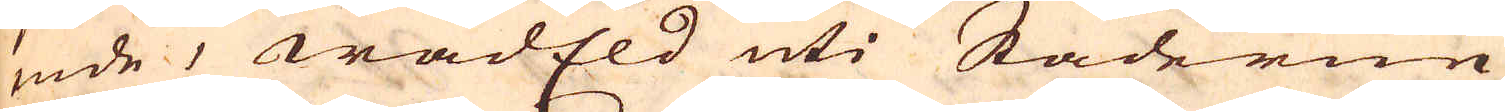ende, wådEld uti Städerne
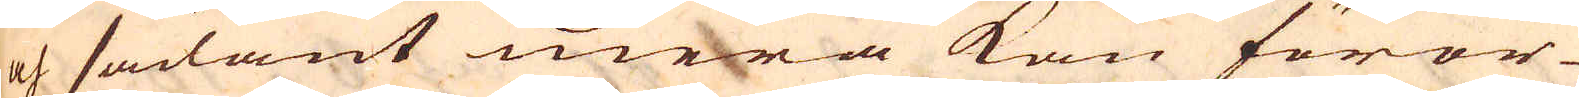och sådant mera kan föror-
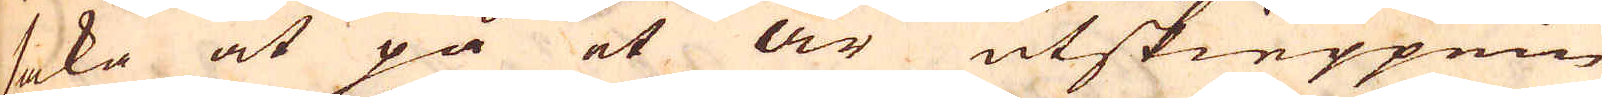saka at på et år utskieppnin-
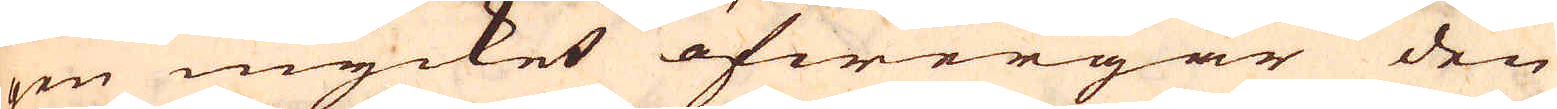gen mycket öfwergår den
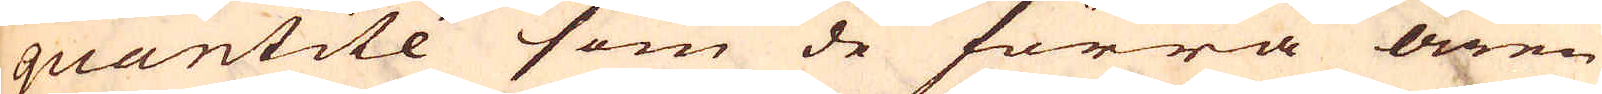quantité som de förra åren
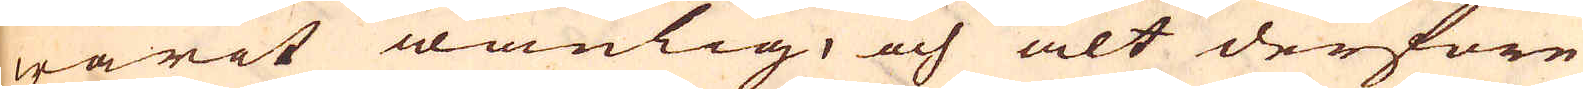warit wanlig, och alt derföre
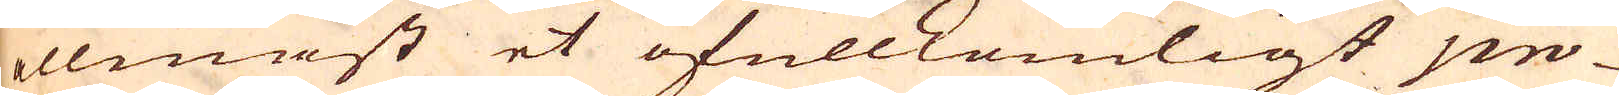allenast et ofullkomligt pro-
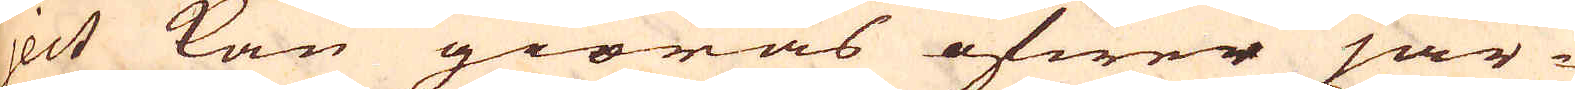ject kan giöras öfwer jär-
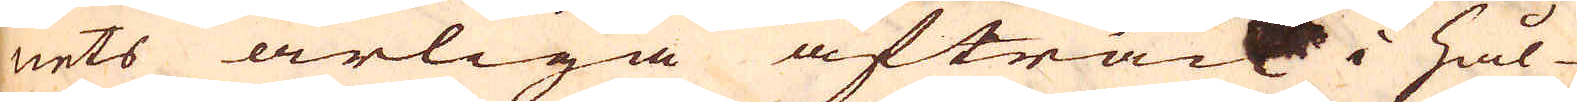nets årliga afträck i Hål-
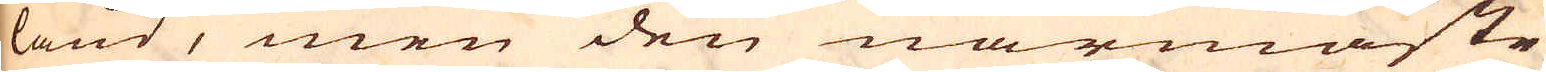land, men den närmaste
